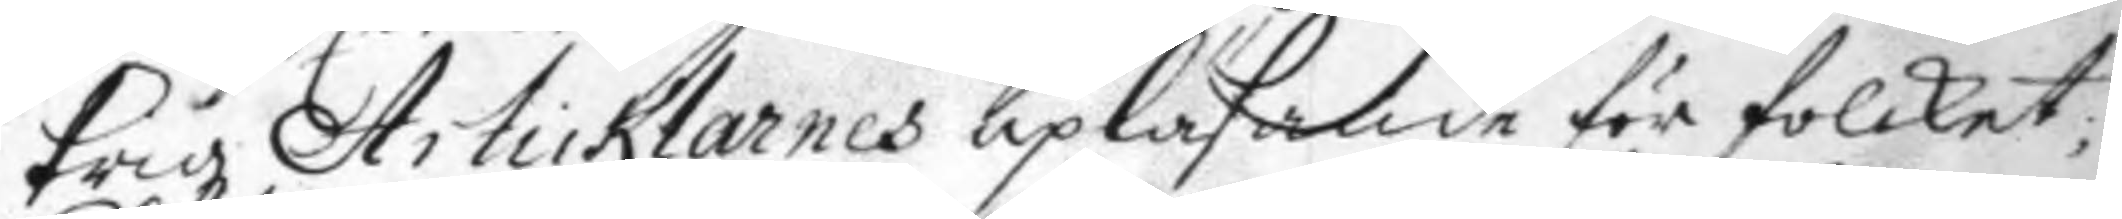krigz Articklarnes upläsande för folcket;
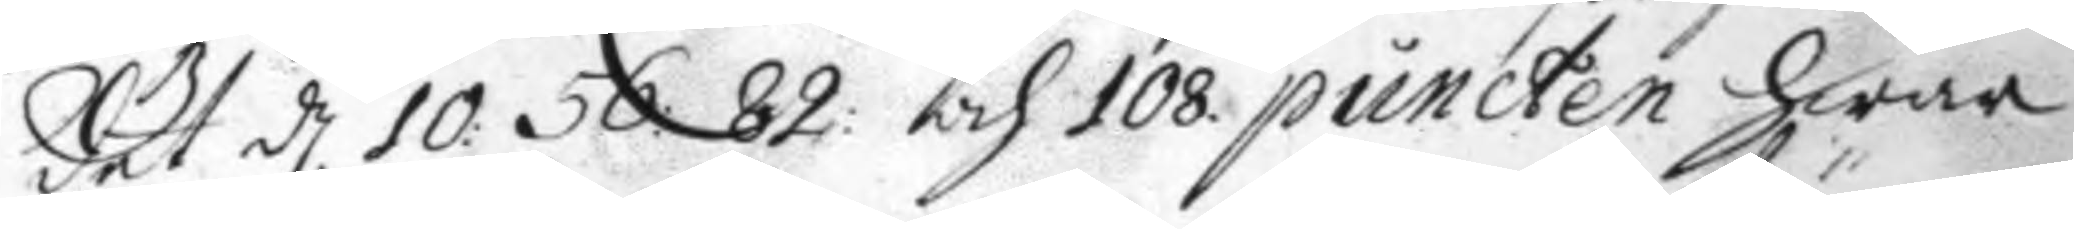det d. 10: 56: 82 och 108 puncten hwar 
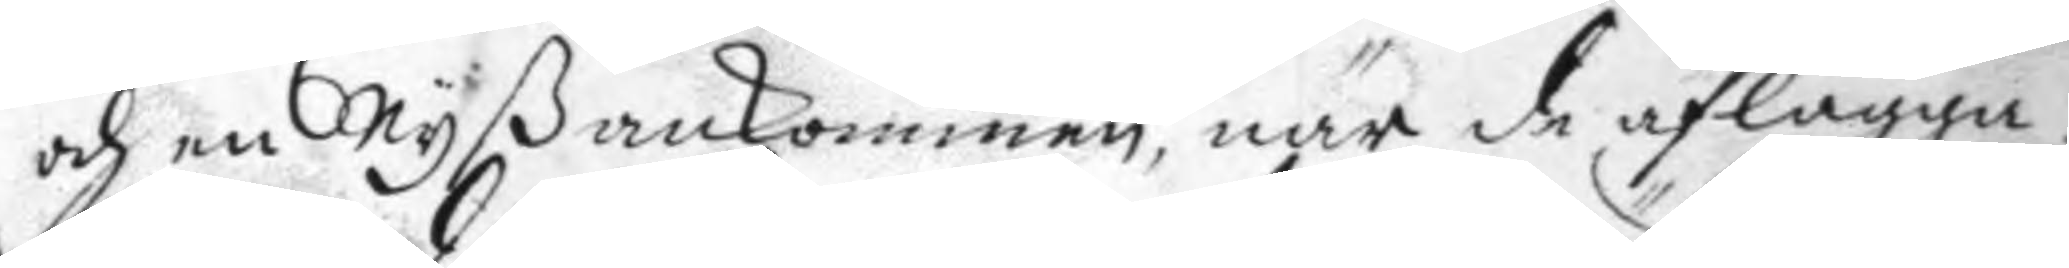och en Nyß ankommen, när de aflägga.
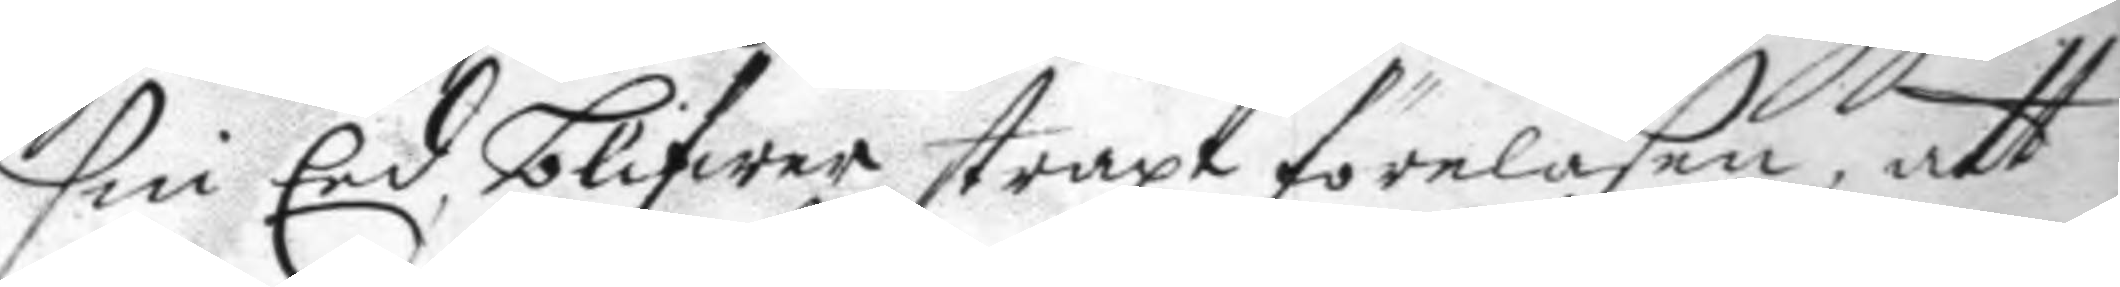sin Eed blifwer straxt föreläsen, att
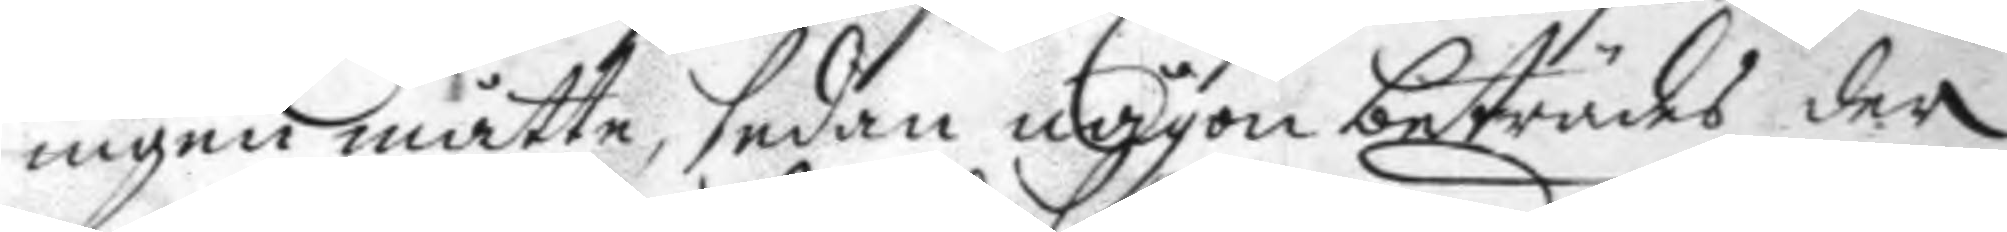ingen måtte, sedan någon beträdes der
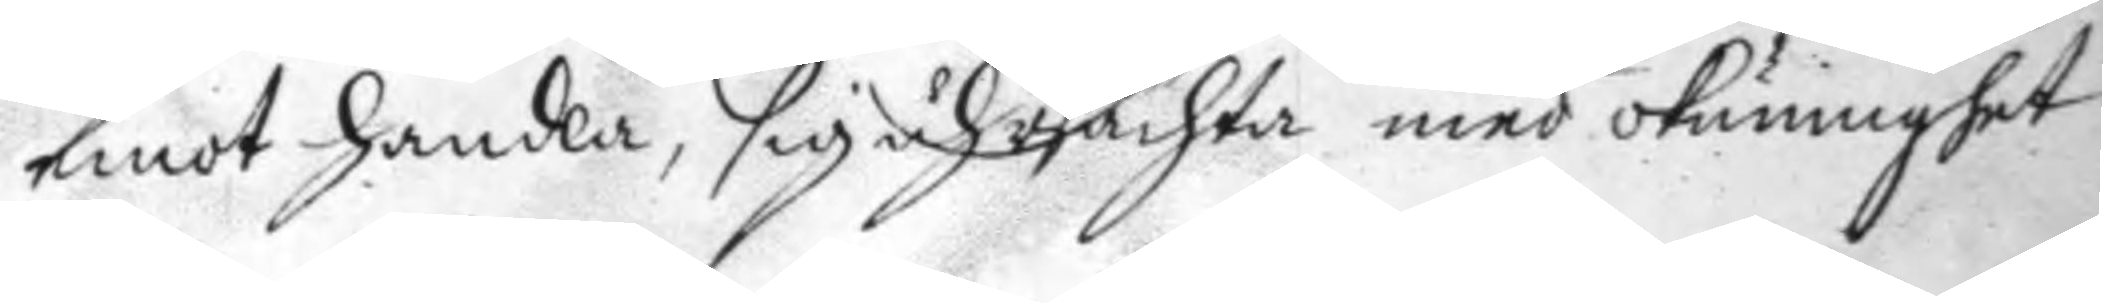emot handla, sig uhrsächta med okunnighet,
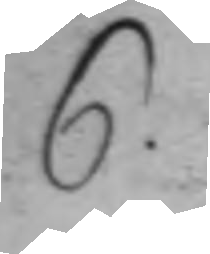6.
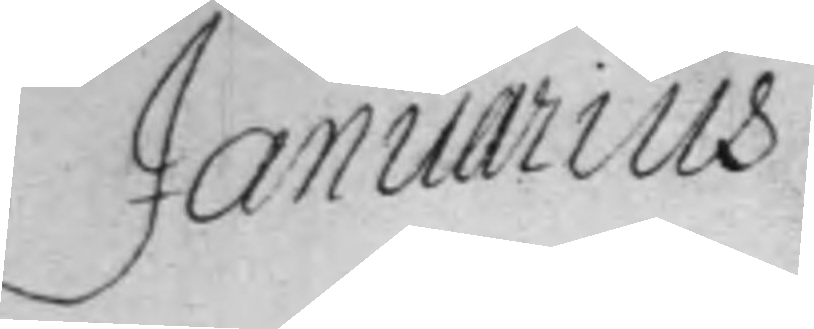Januarius
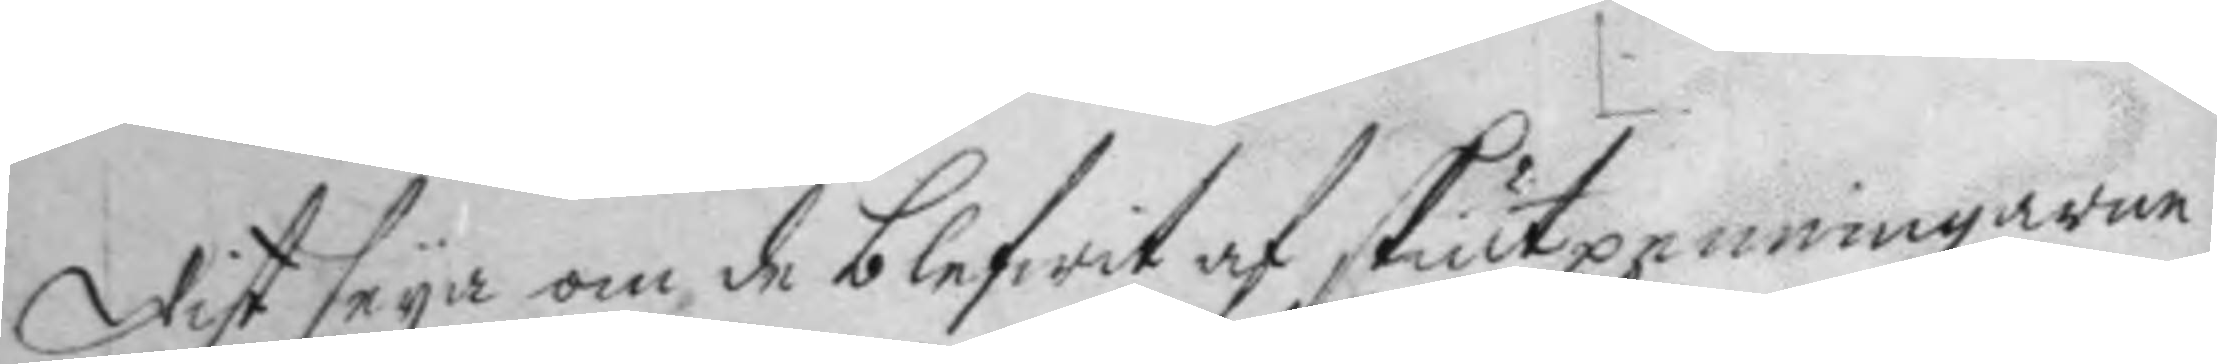wist seya om de blefwit af skiut penningarne
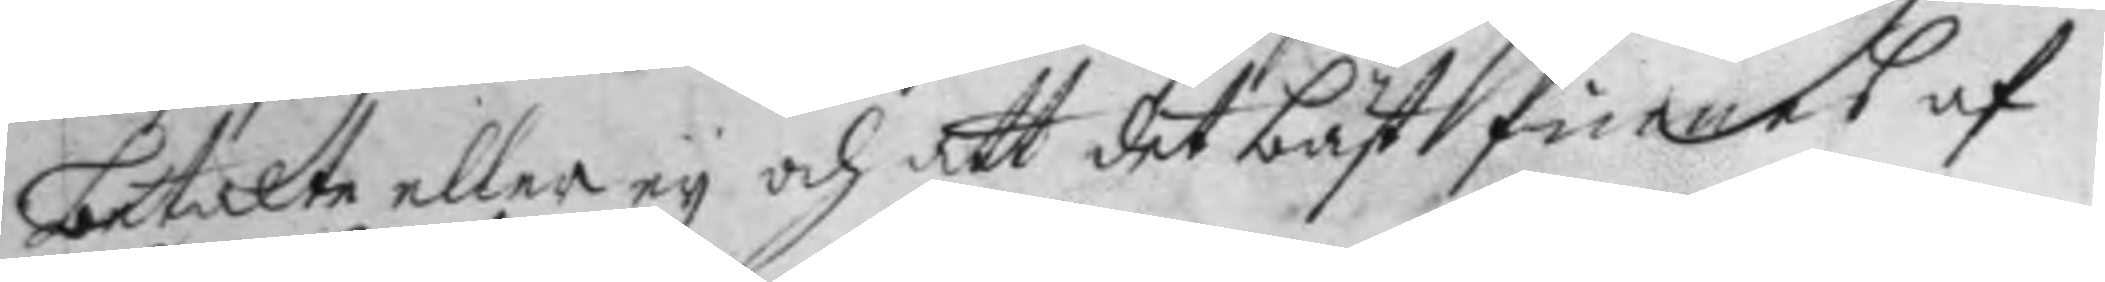betalte eller ey och att det bäst finnes af
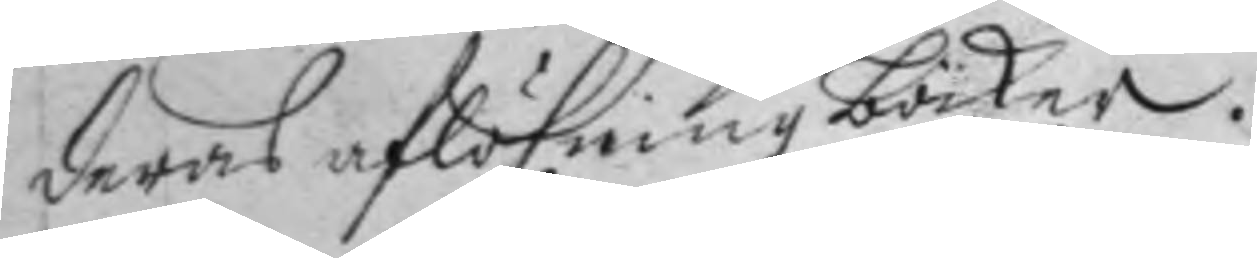deras aflöfningböcker.
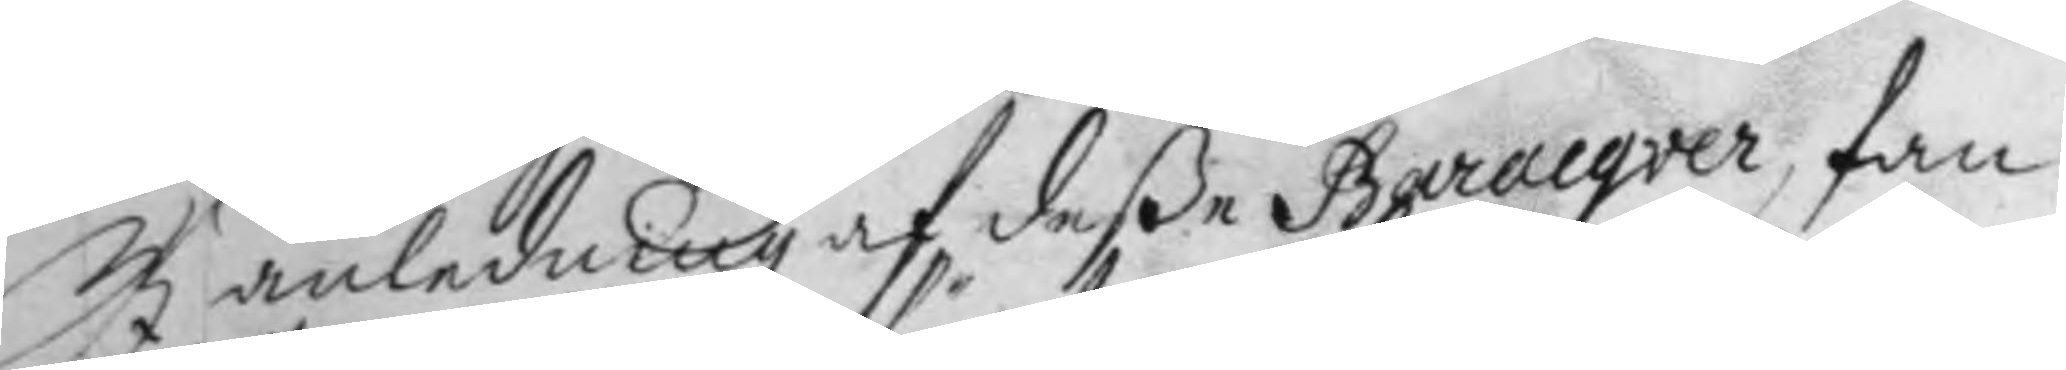I anledning af deße Baracqver, fan
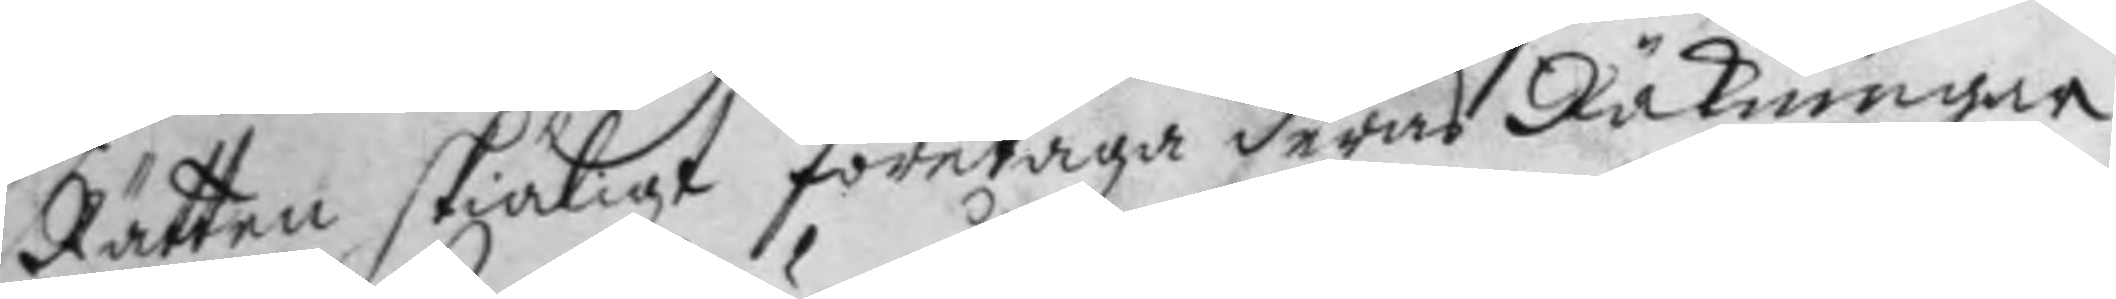Rätten skiäligt företaga deras Räkningar
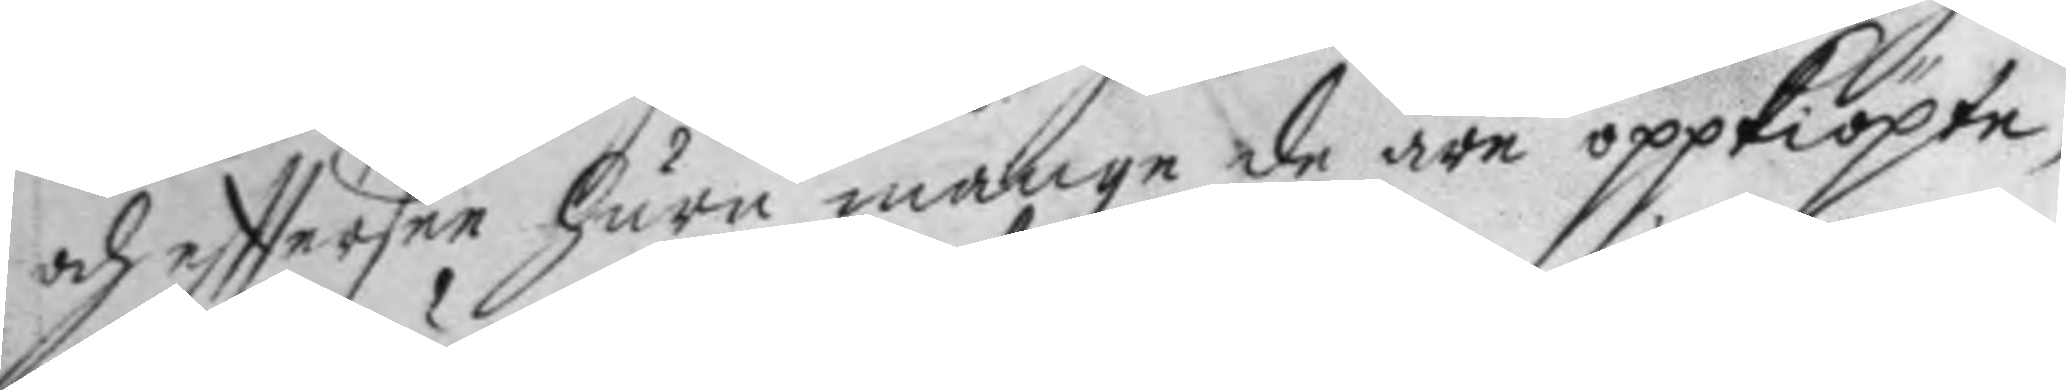och efftersee huru månge de äre oppkiöpte,
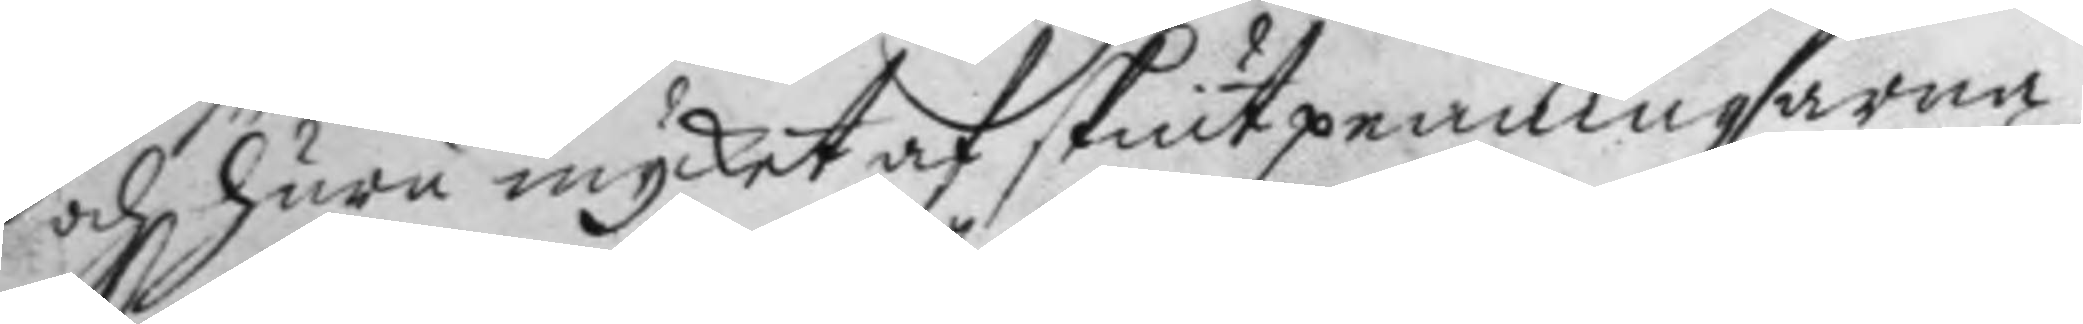och huru mycket af skiutpenningarna
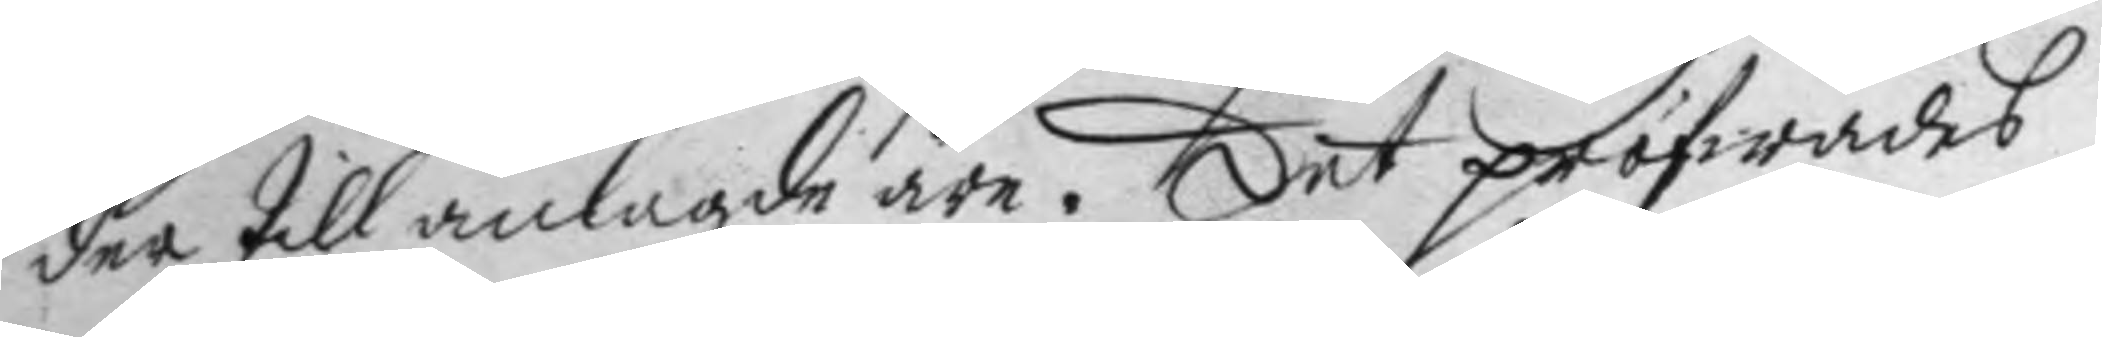der till anlagde äre. Det pröfwades
